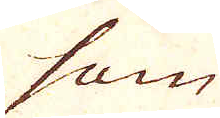som
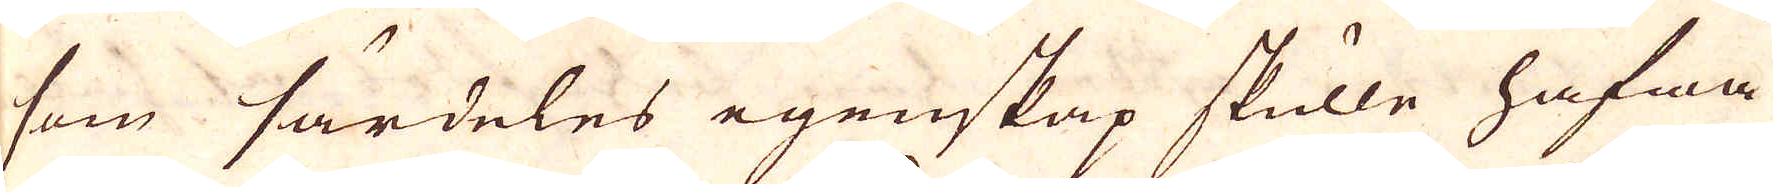som särdeles egenskap skulle hafwa
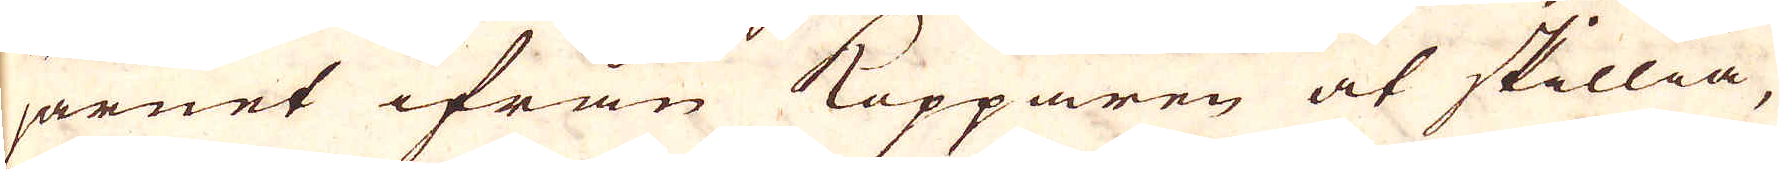järnet ifrån Kopparen at skillia,
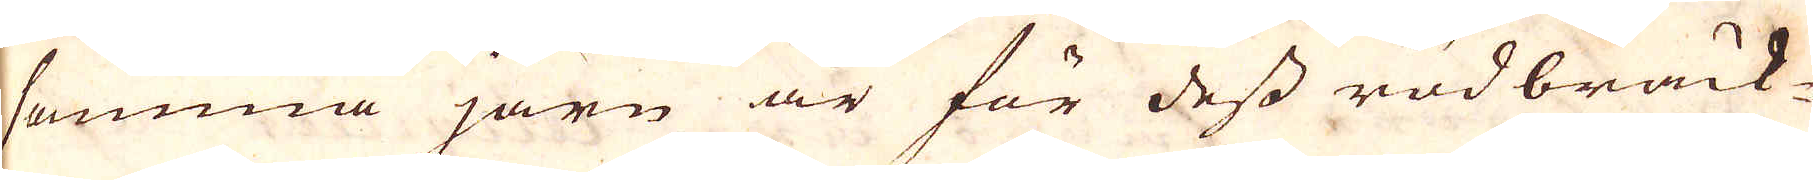samma järn är för dess rödbräck-
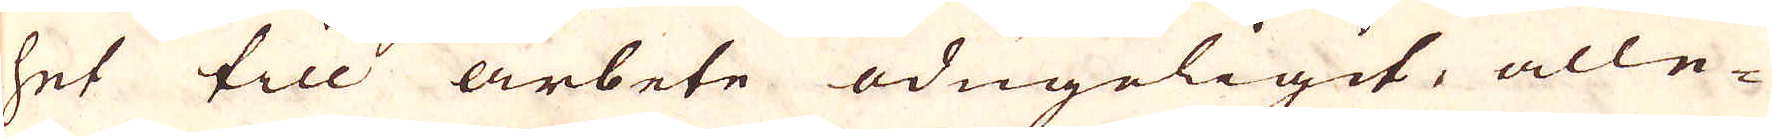het till arbete odugeligit, alle-
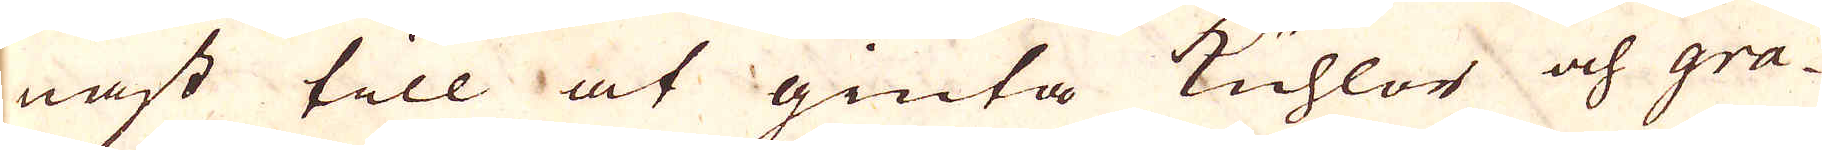nast till at giuta Kuhlor och gra-
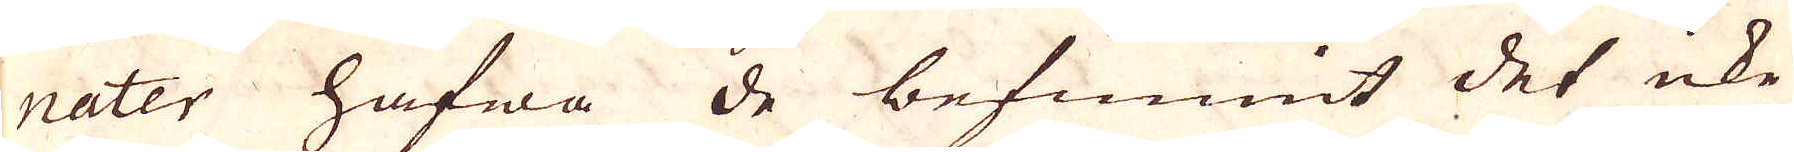nater hafwa de befunnit det icke
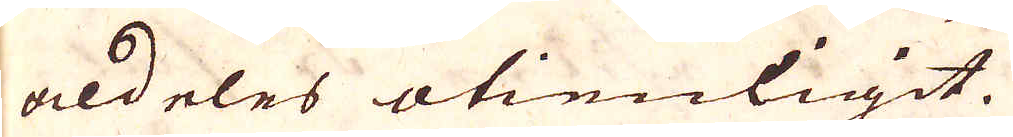aldeles otimligit.
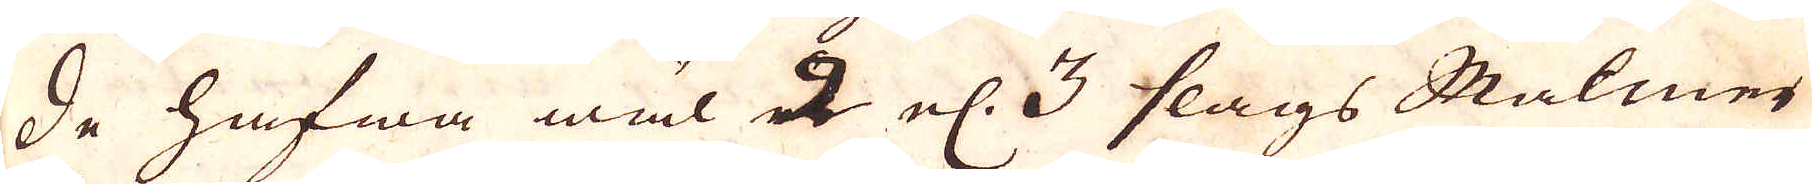De hafwa wäl 2 el. 3 slags Malmer
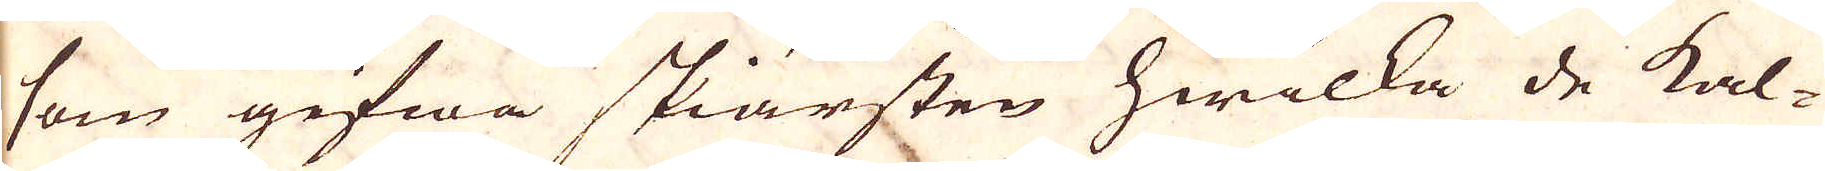som gifwa skiärsten hwilka de kal-
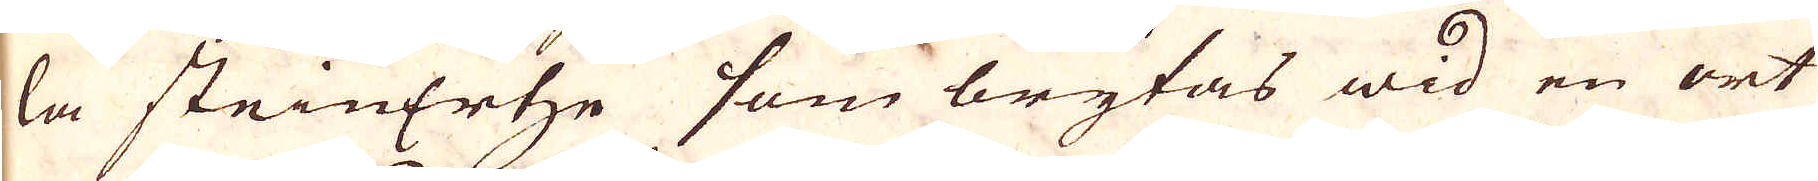la steinErtze som brytas wid en ort
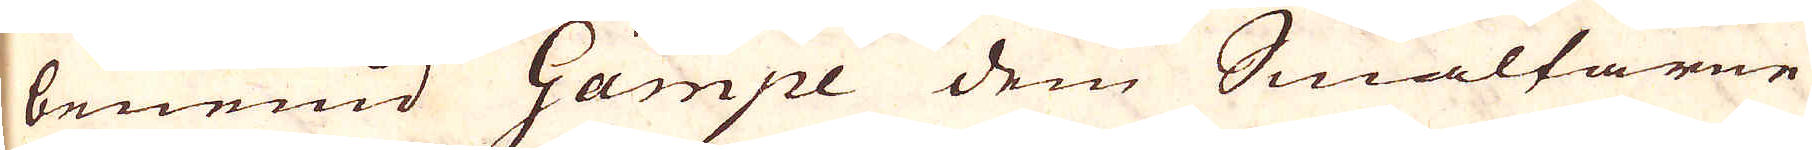benemd Gämpe dem Smältarne
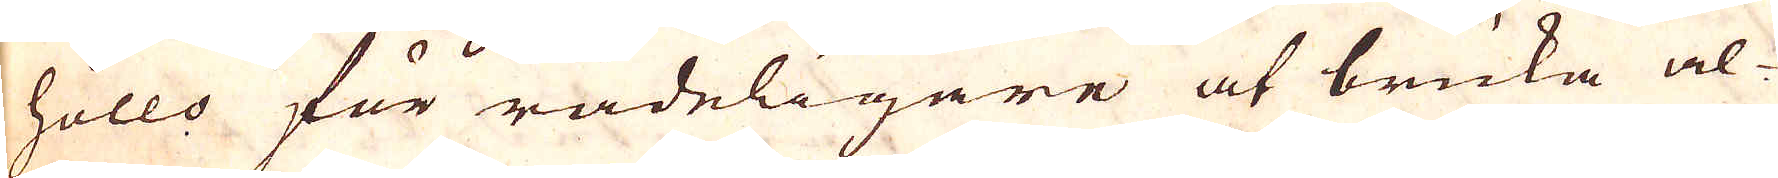höllo för rådeligare at bruka al-
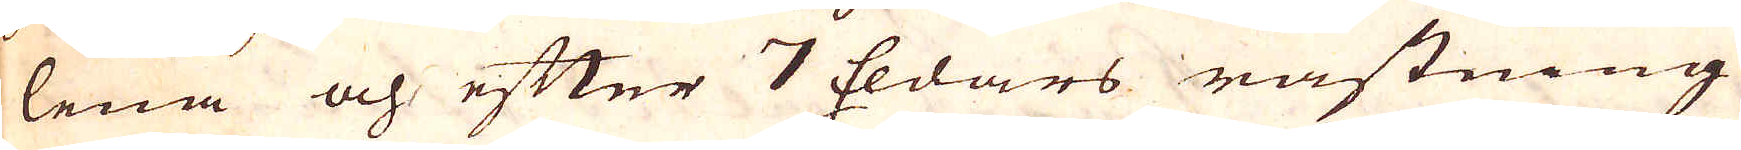lena och efter 7 Eldars råstning
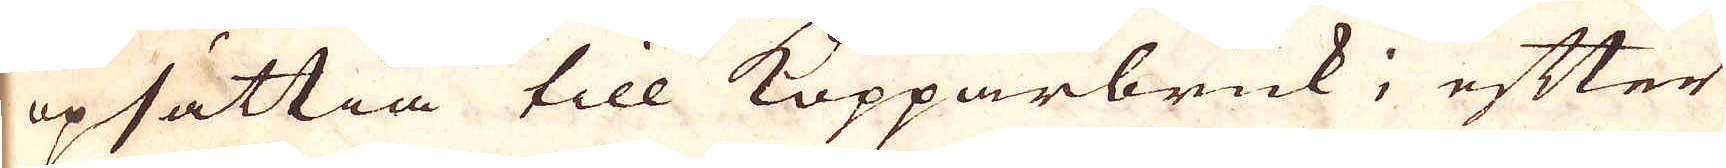opsättia till Kopparbruk, efter
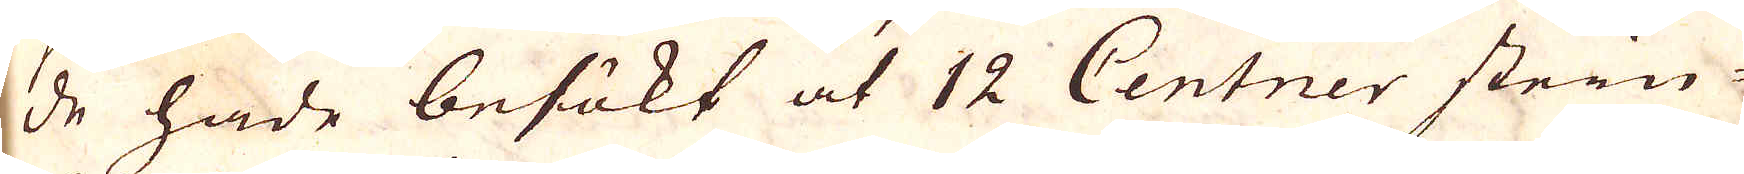de hade besökt at 12 Centner stein-
